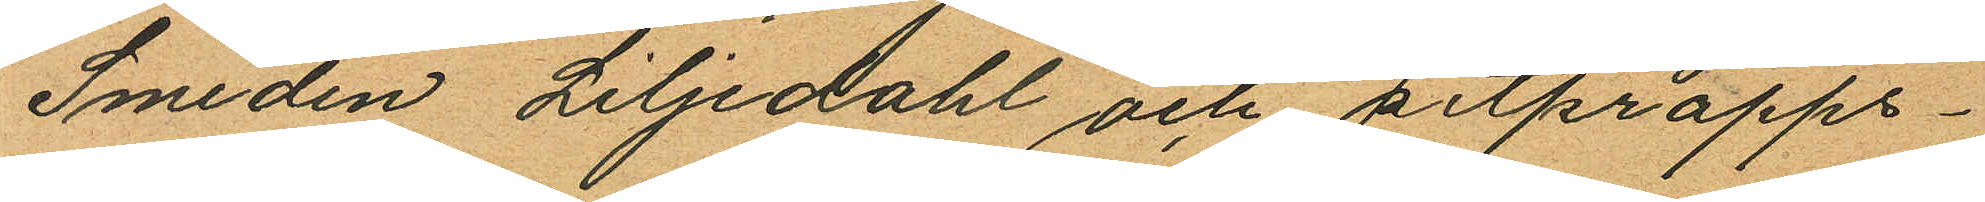Smeden Liljedahl och pitpropps¬
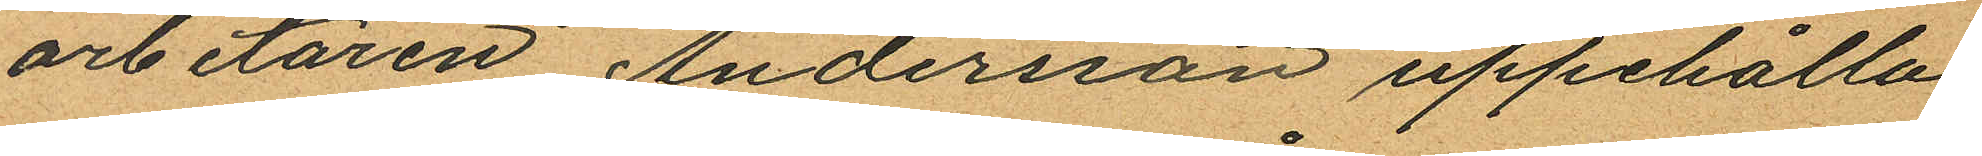arbetaren Andersson uppehålla
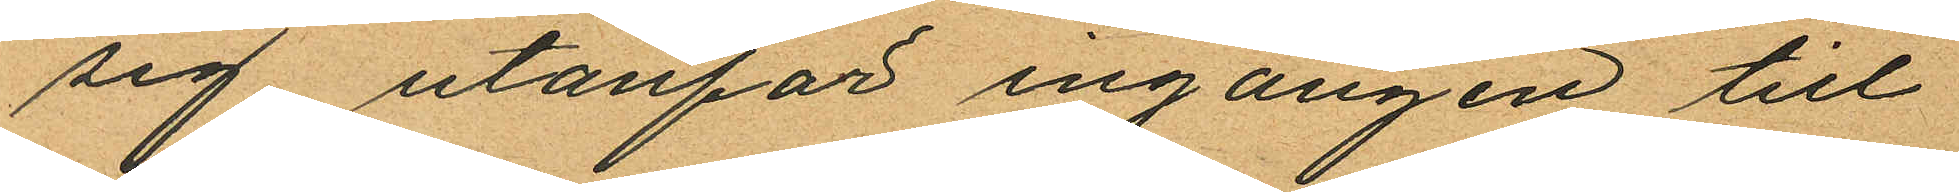sig utanför ingången till
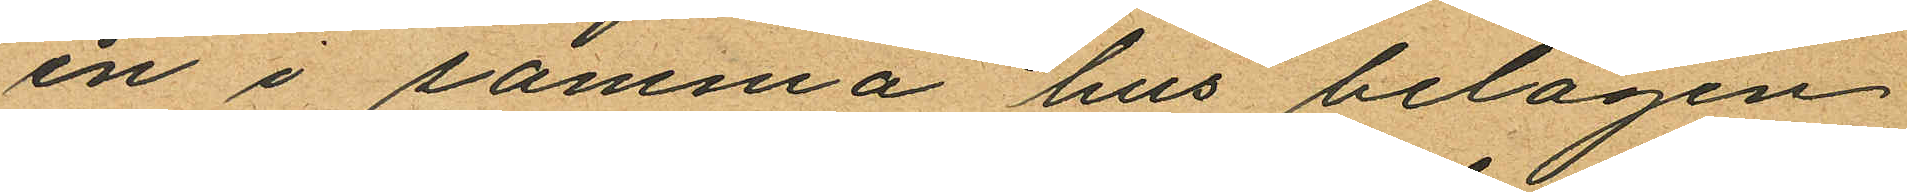en i samma hus belägen
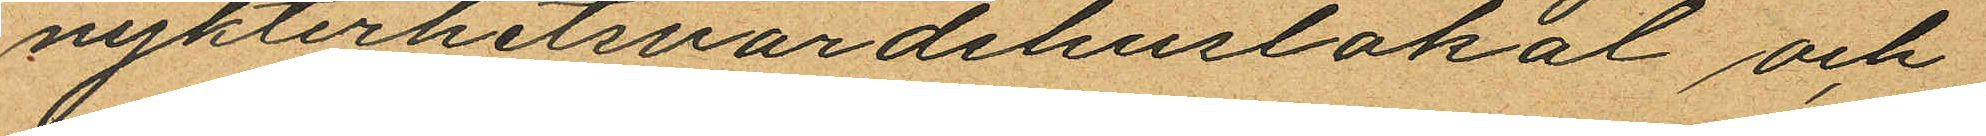nykterhetsvärdshuslokal och
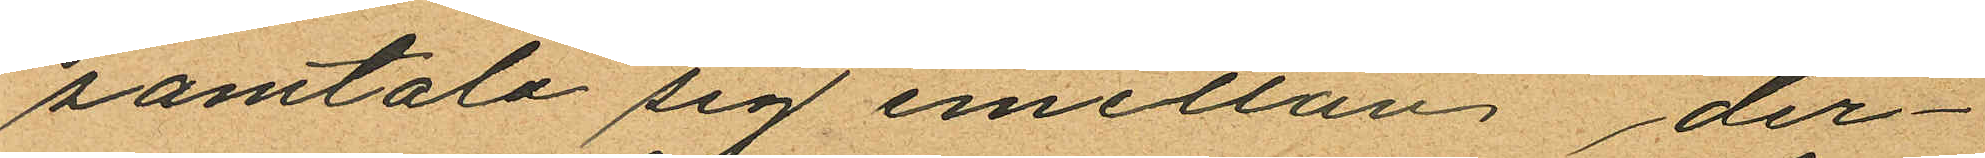samtala sig emellan der¬
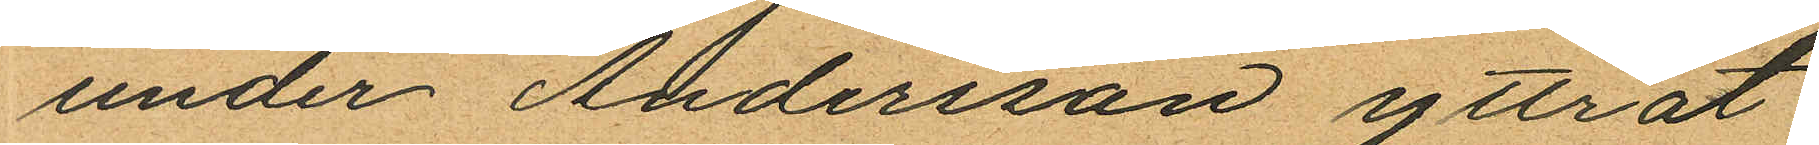under Andersson yttrat:
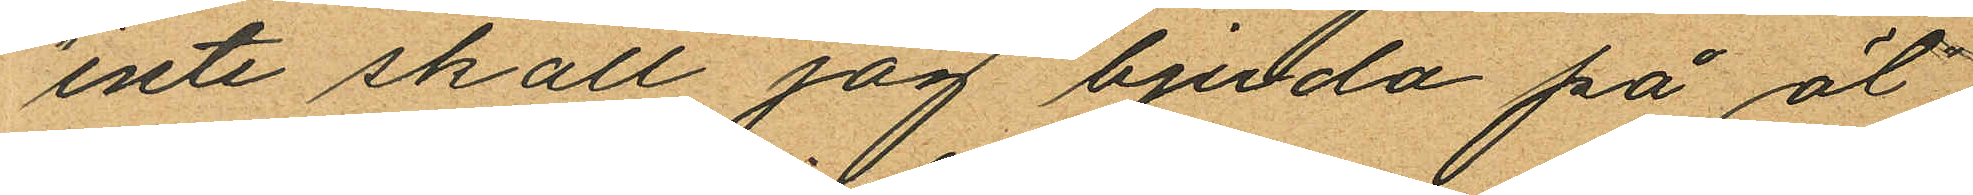"inte skall jag bjuda på öl",
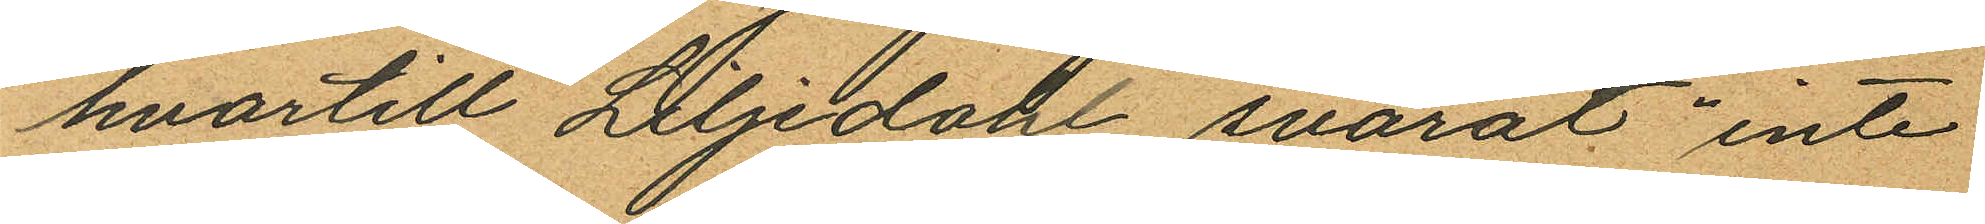hvartill Liljedahl svarat "inte
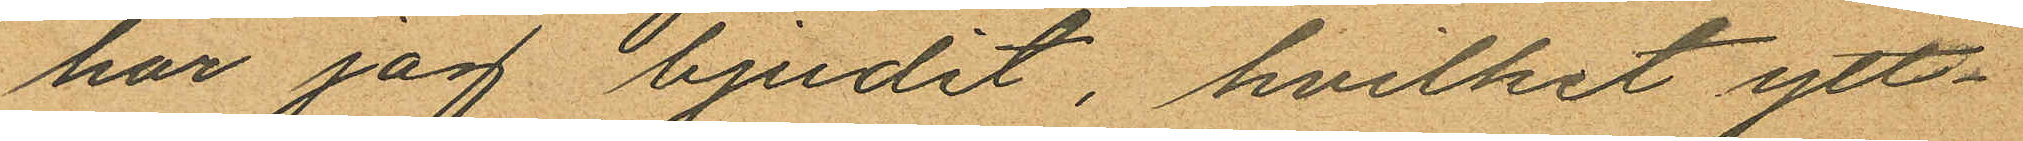har jag bjudit, hvilket ytt¬
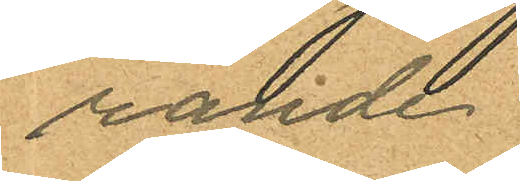rande
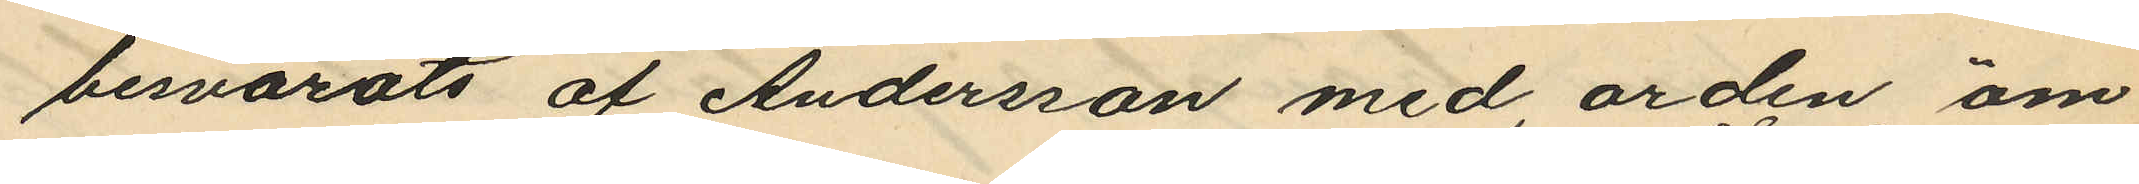besvarats af Andersson med orden "om
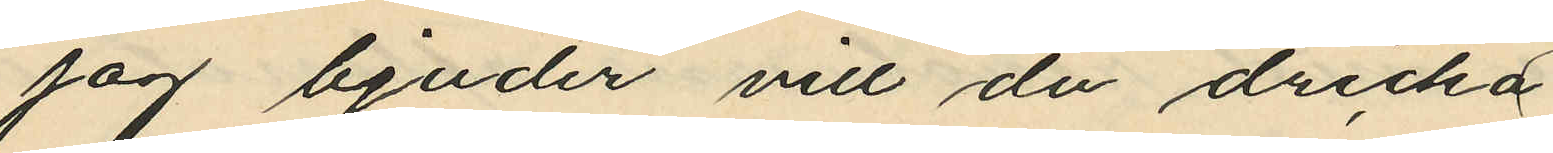jag bjuder vill du dricka
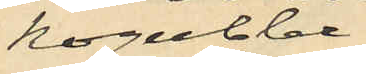Kogubbe"
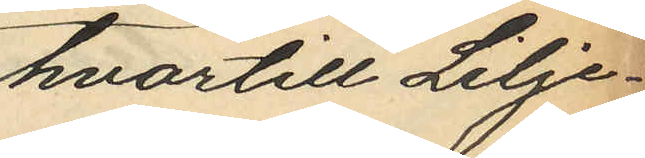hvartill Lilje¬
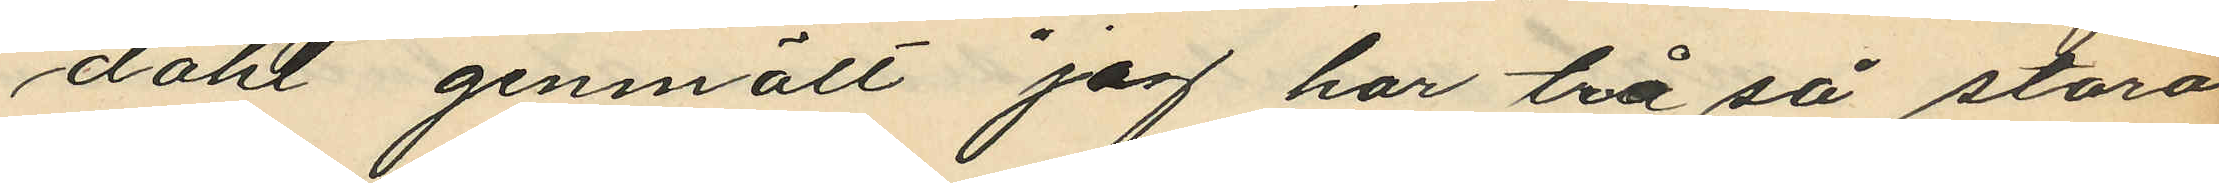dahl genmält "jag har två så stora
